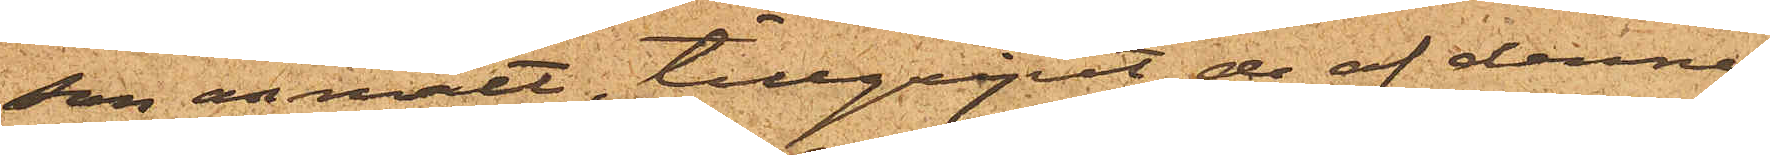son anmält, tillgripit de af denne
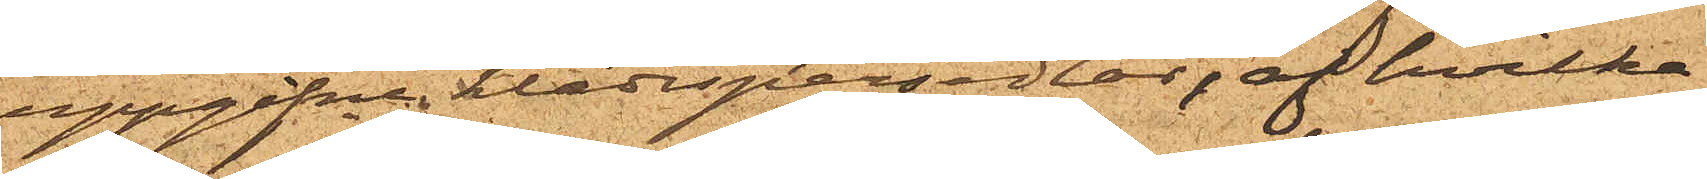uppgifne klädespersedlar, af hvilka
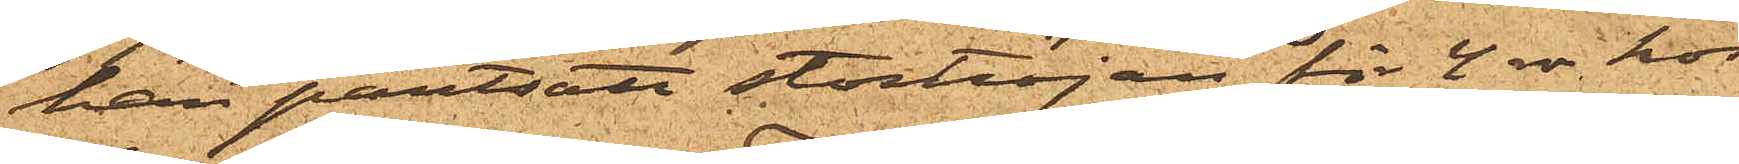han pantsatt stortröjan för 4 rdr hos
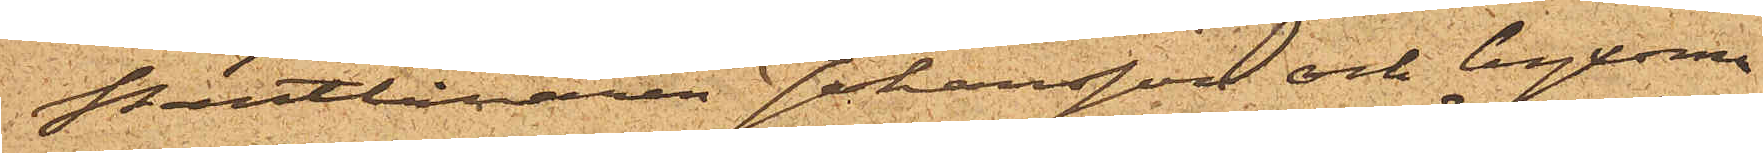Pantlånaren Johansson och byxorna
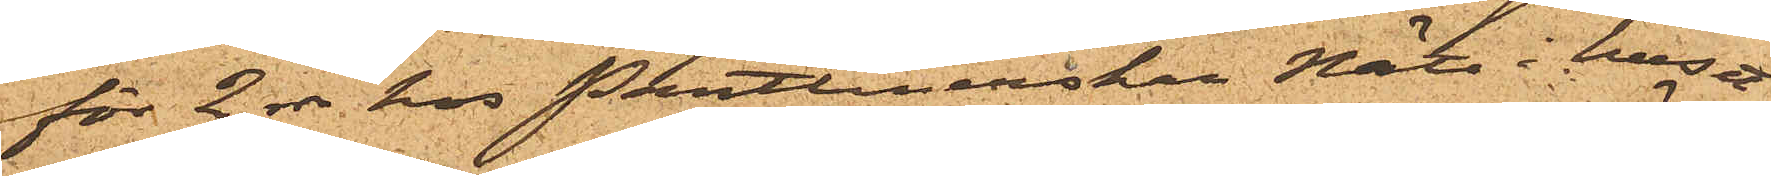för 2 rdr hos Pantlånerskan Nätt i huset
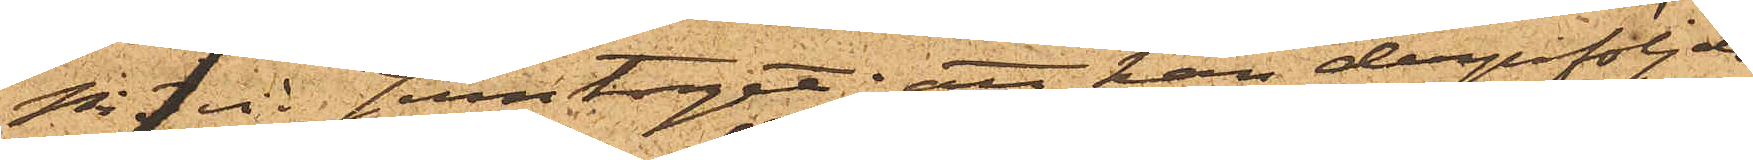No 1 vid Jerntorget; att han derpåföljde
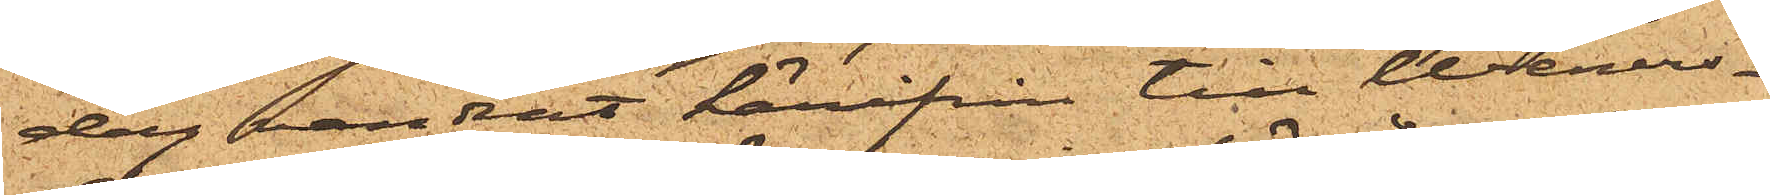dag vandrat härifrån till Weners¬
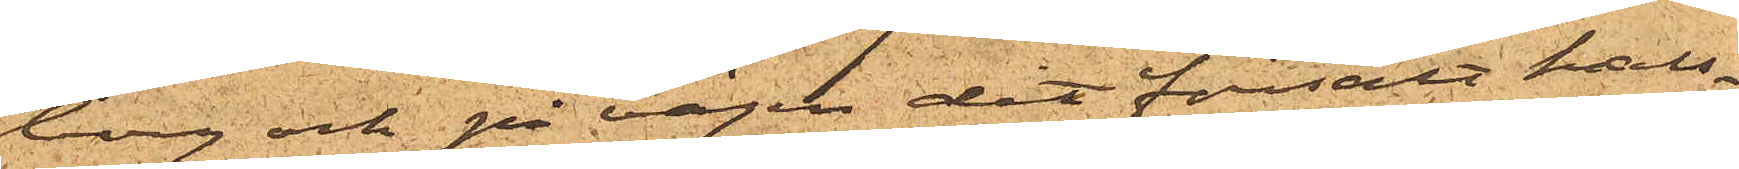borg och på vägen dit försålt hals¬
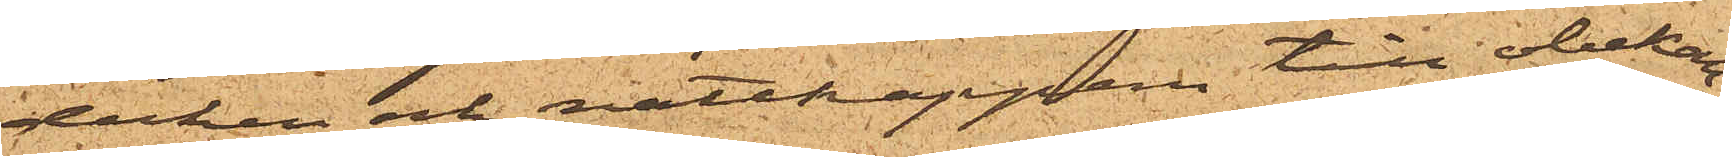duken och nattkappan till obekan¬
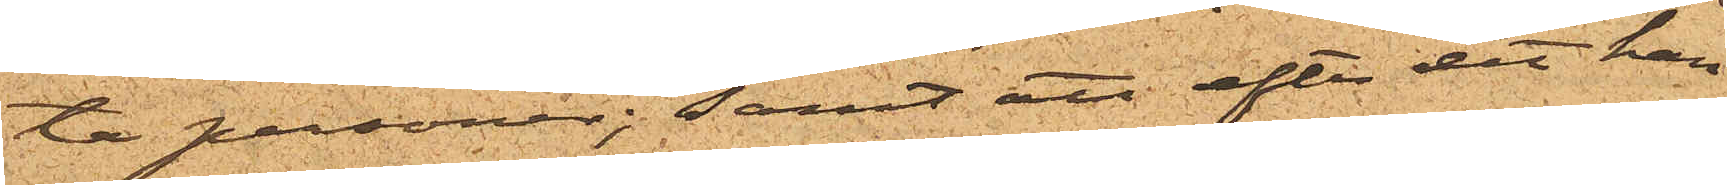te personer; samt att efter det han
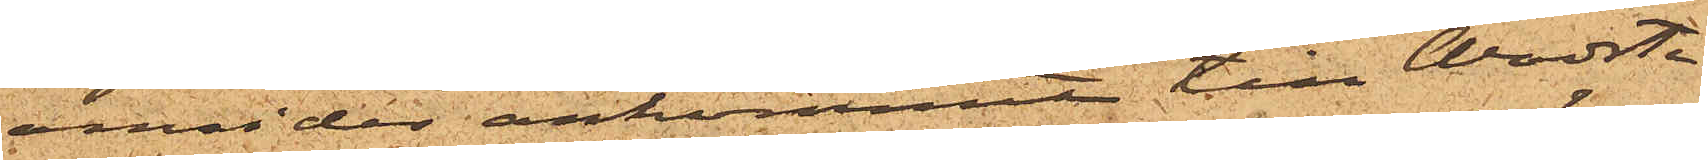omsider ankommit till Wadste¬
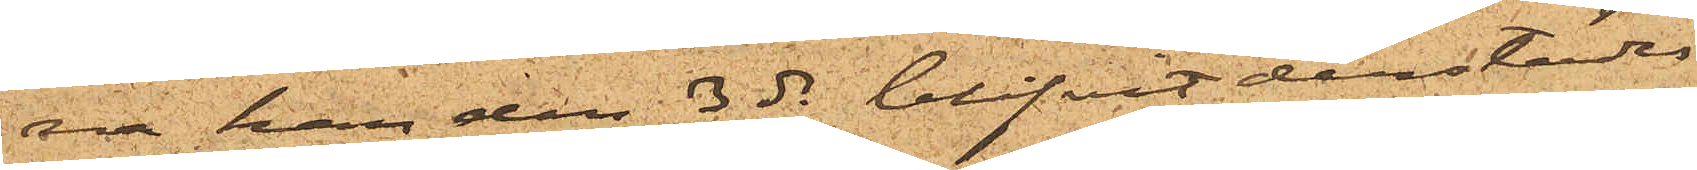na han den 3 ds blifvit derstädes
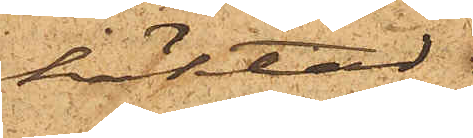häktad.
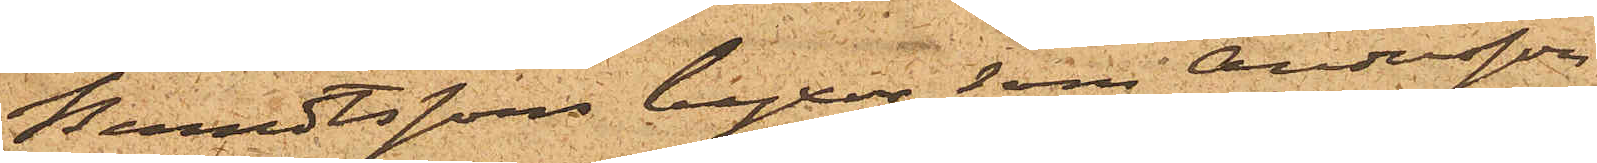Berndtssons byxor, som Andersson
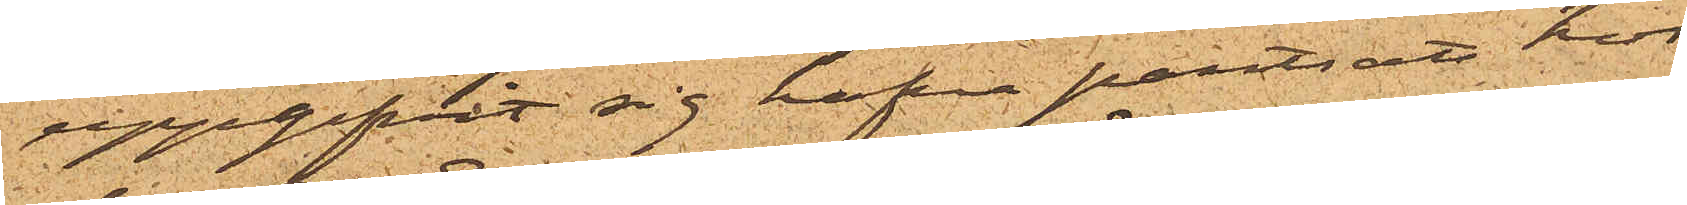uppgifvit sig hafva pantsatt hos
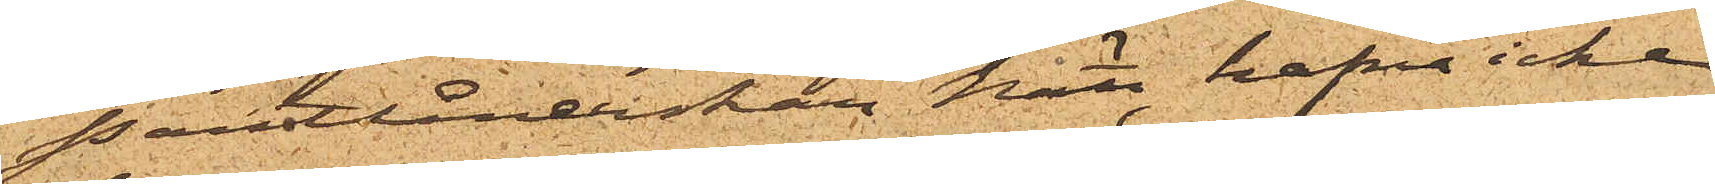Pantlånerskan Nätt, hafva icke
